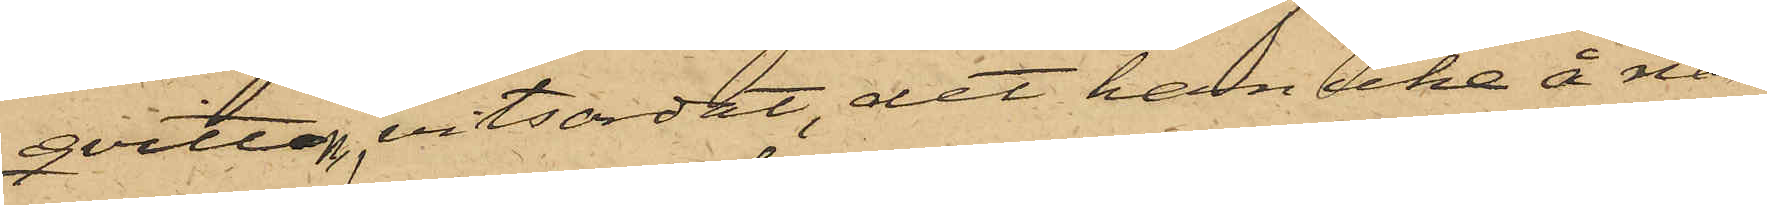qvitton, vitsordat, det han icke å nå¬
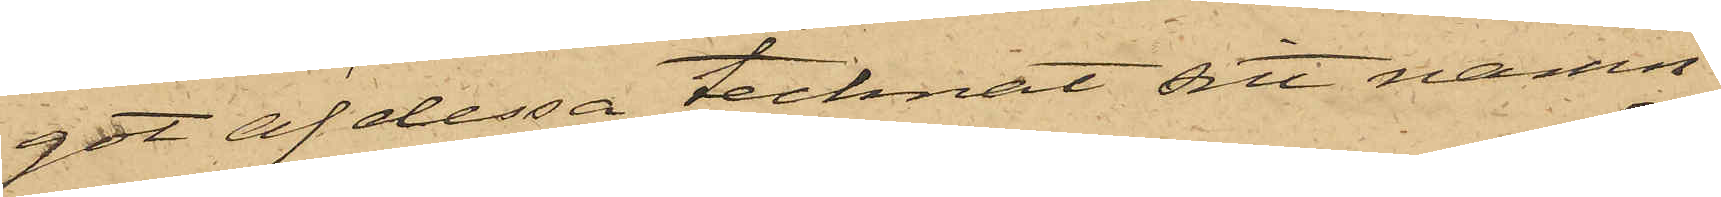got af dessa tecknat sitt namn.
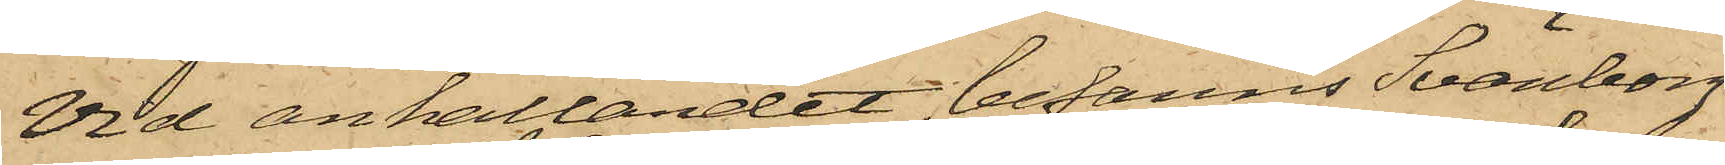Vid anhållandet befanns Svänborg
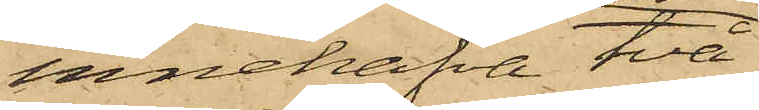innehafva två
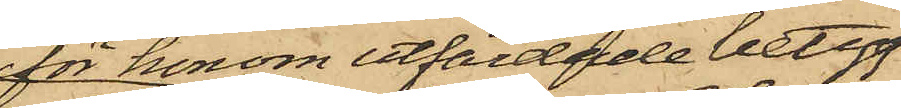för honom utfärdade betyg,
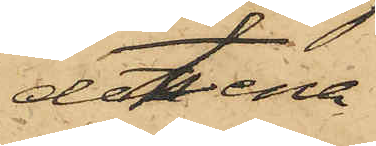det ena
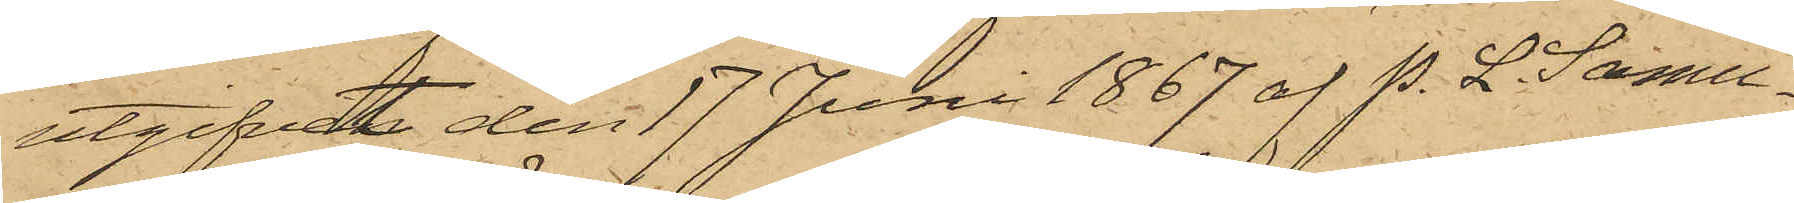utgifvet den 17 Juni 1867 af P. L. Samu¬
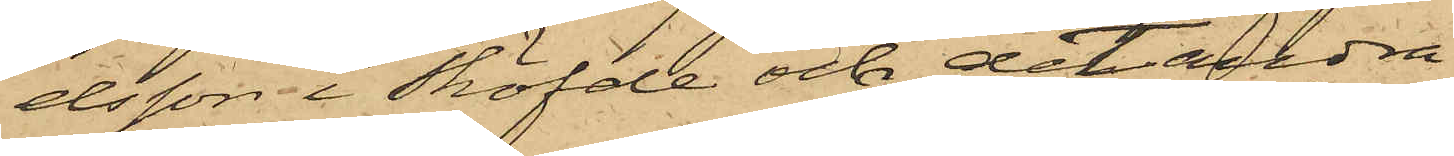elsson i Sköfde och det andra
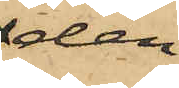den
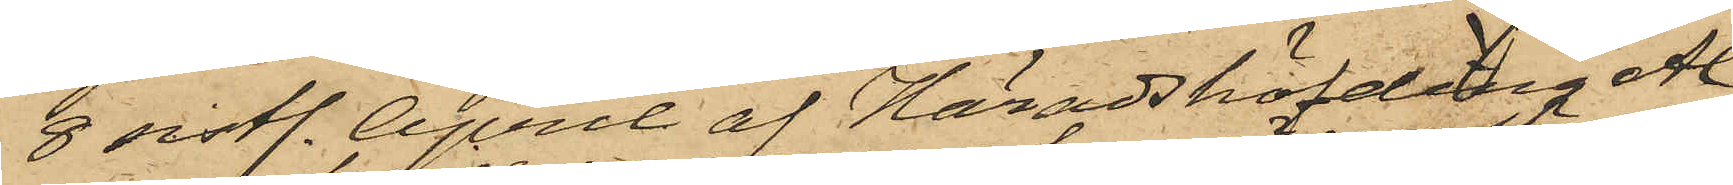8 sistl. April af Häradshöfding Al¬
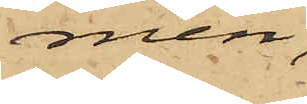mén,
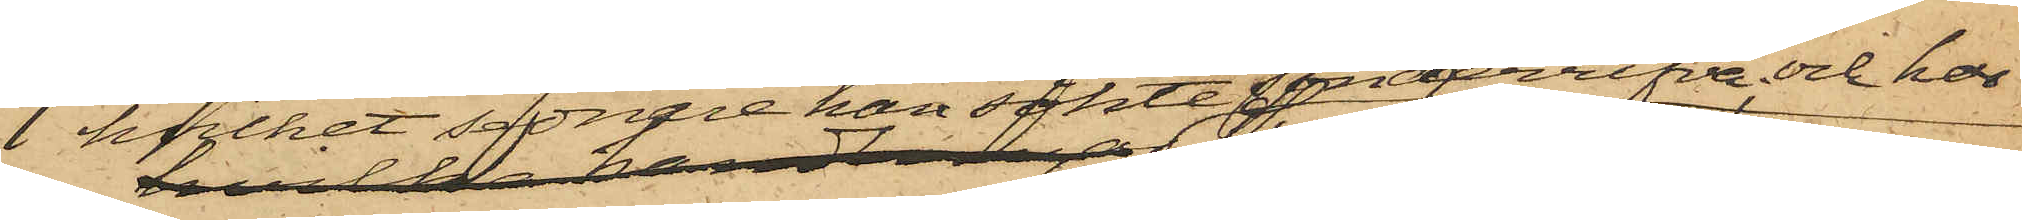hvilket sednare han sökte sönderrifva och har
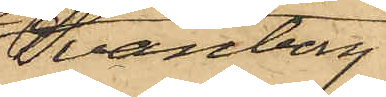Svänborg
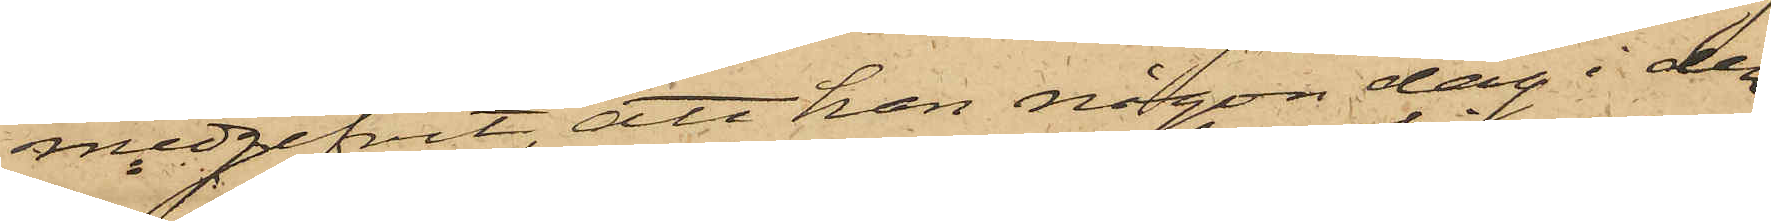medgifvit, att han någon dag i den¬
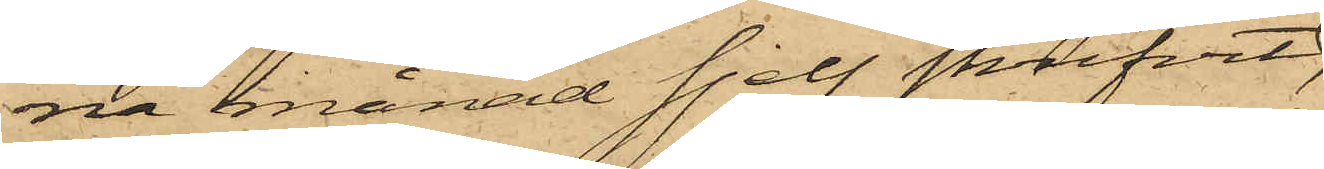na månad sjelf skrifvit
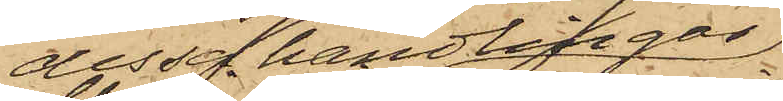dessa handlingar,
